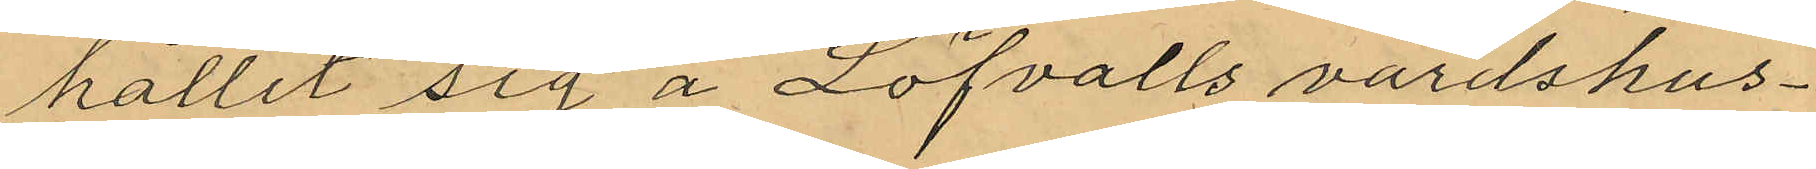hållit sig å Löfvalls värdshus¬
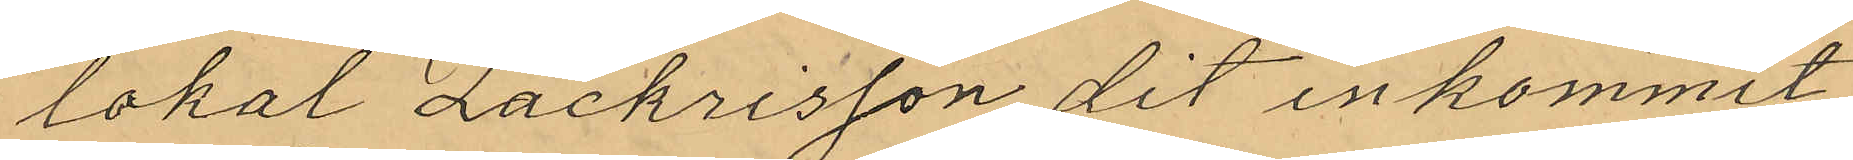lokal Zackrisson dit inkommit,
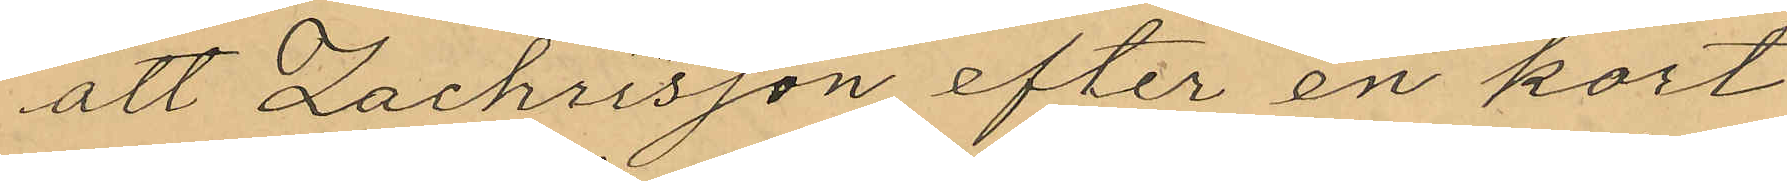att Zachrisson efter en kort
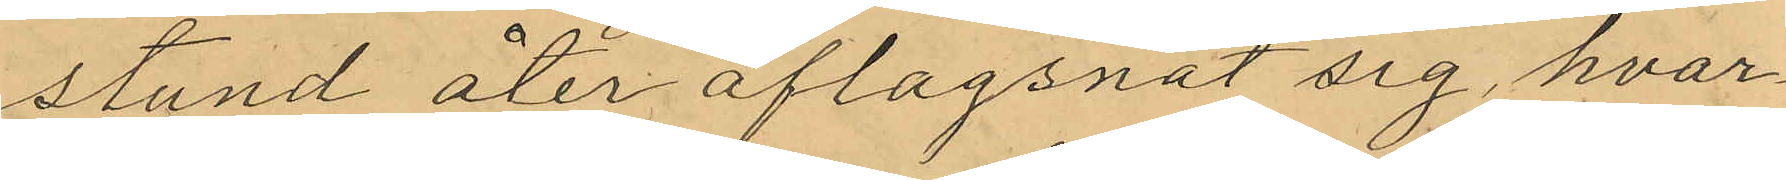stund åter aflagsnat sig, hvar¬
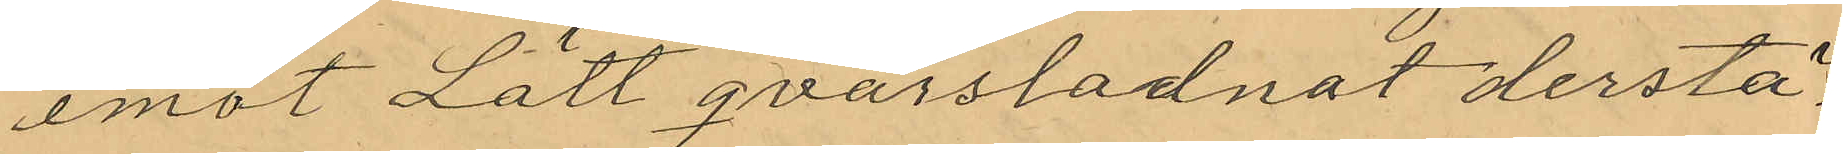emot Lätt qvarstadnat derstä¬
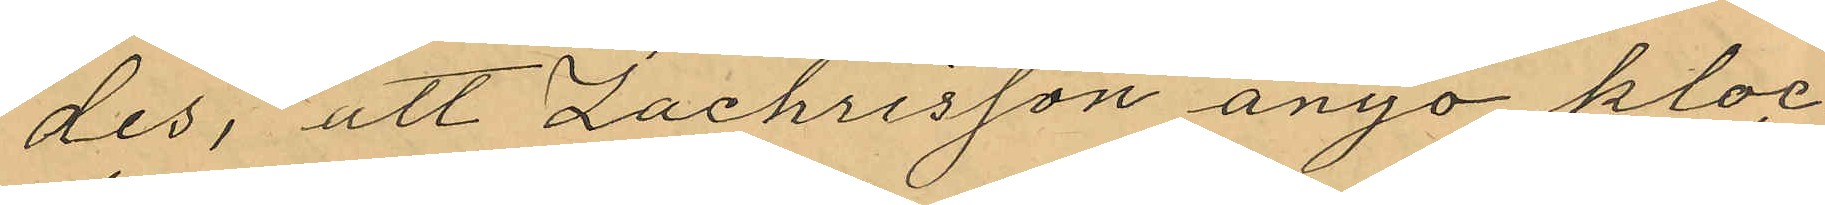des, att Zachrisson ånyo kloc¬
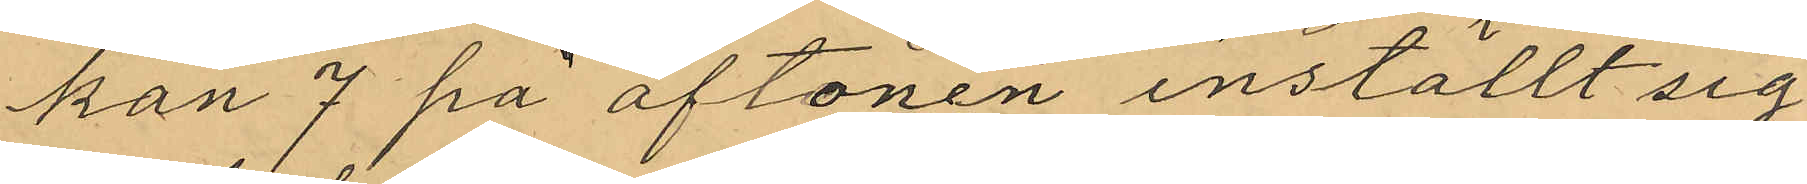kan 7 på aftonen inställt sig
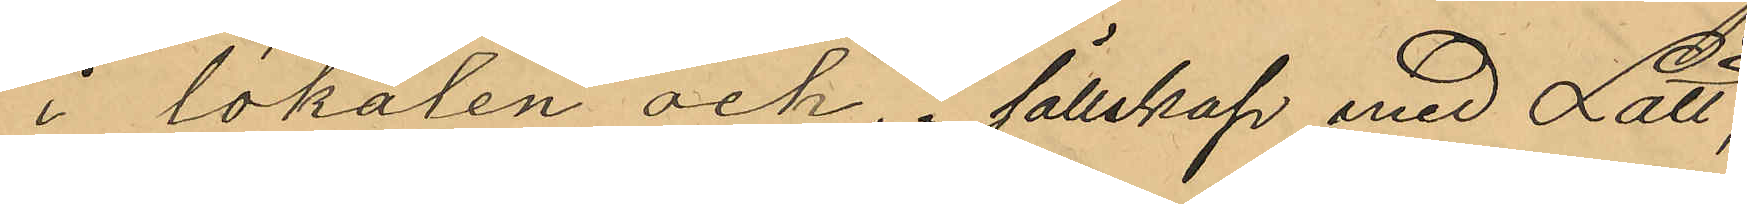i lokalen och, i sällskap med Lätt,
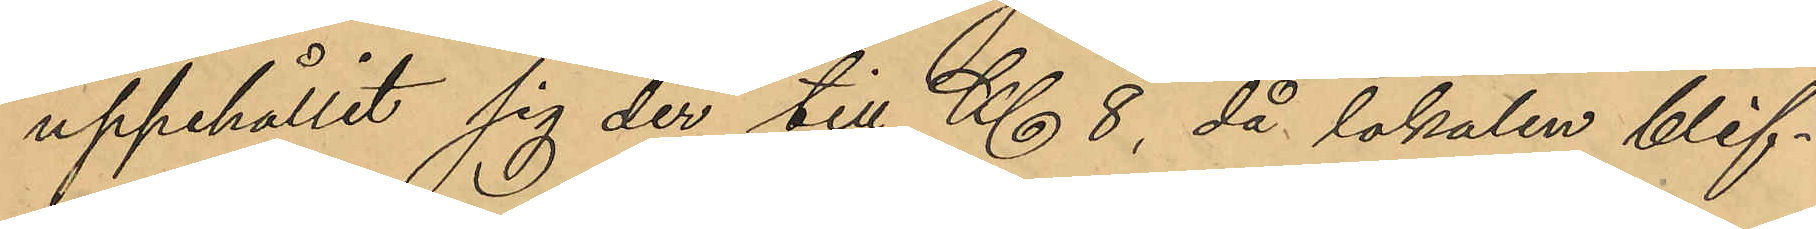uppehållit sig der till Kl. 8, då lokalen blif¬
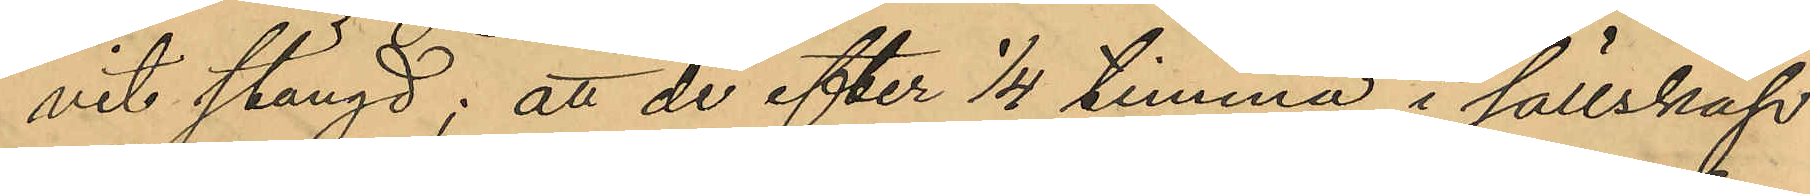vit stängd; att de efter 1/4 timma, i sällskap
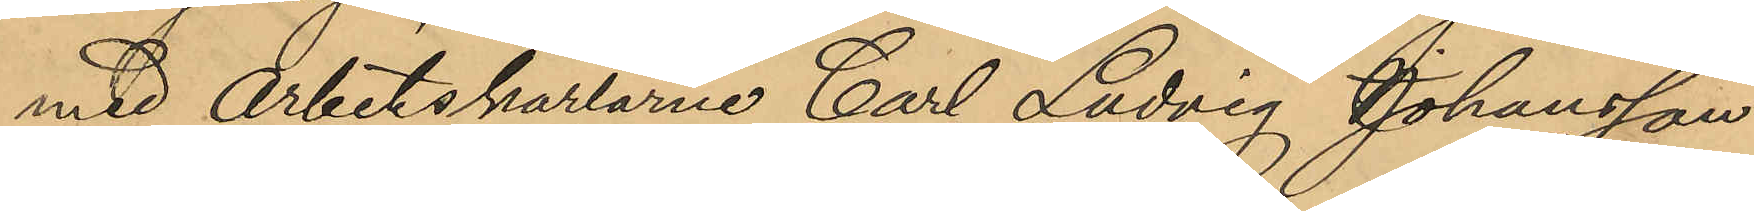med Arbetskarlarne Carl Ludvig Johansson
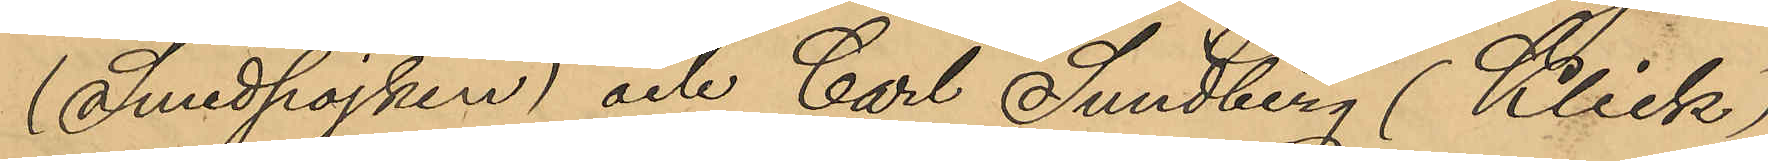(Smedpojken) och Carl Sundberg (Klick)
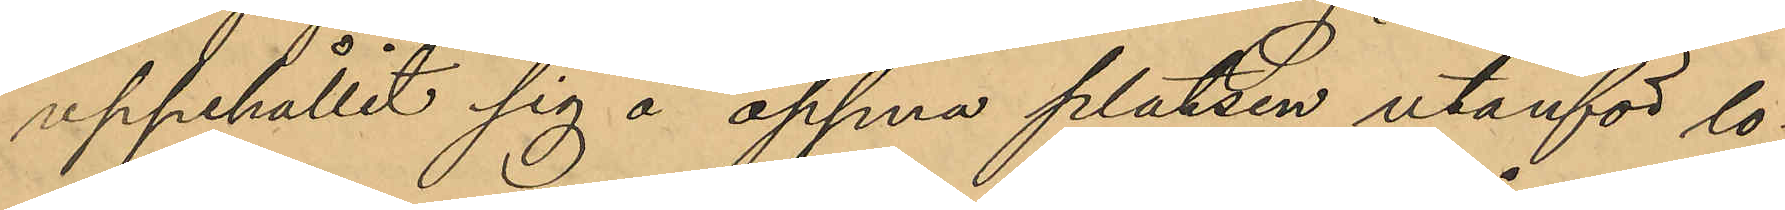uppehållit sig å öppna platsen utanför lo¬
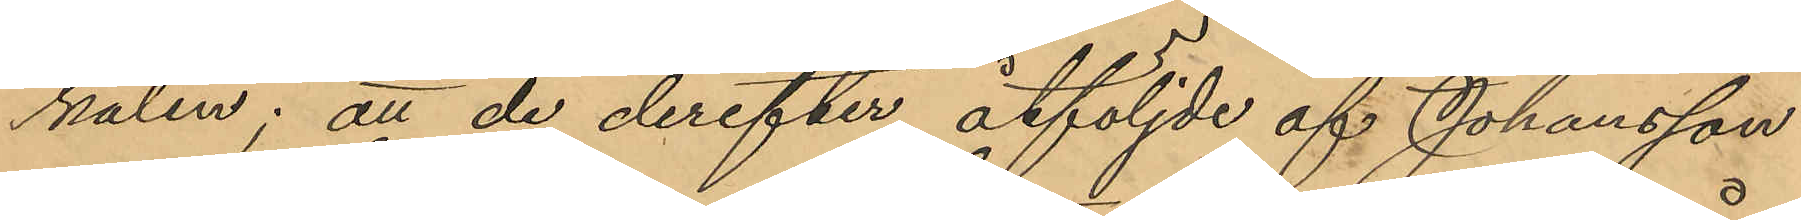kalen; att de derefter, åtföljde af Johansson
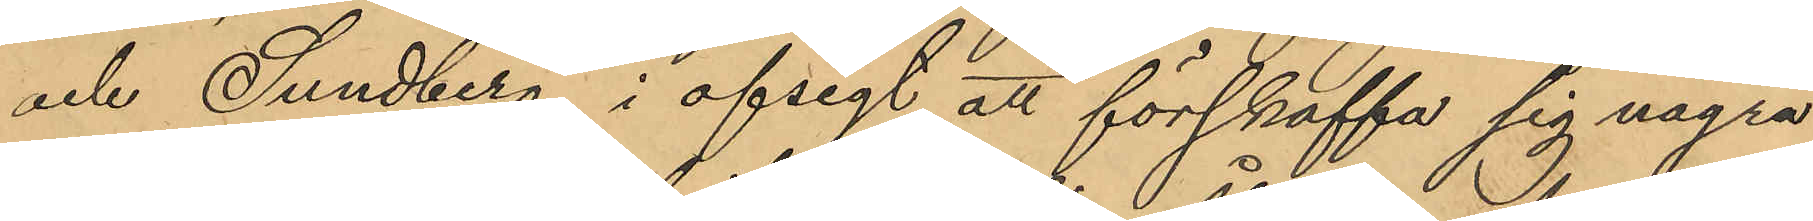och Sundberg, i afsigt att förskaffa sig några
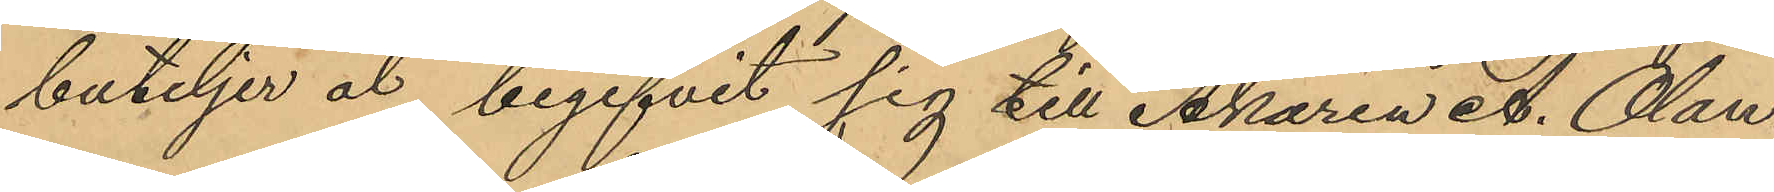buteljer öl, begifvit sig till Åkaren A. Olan¬
